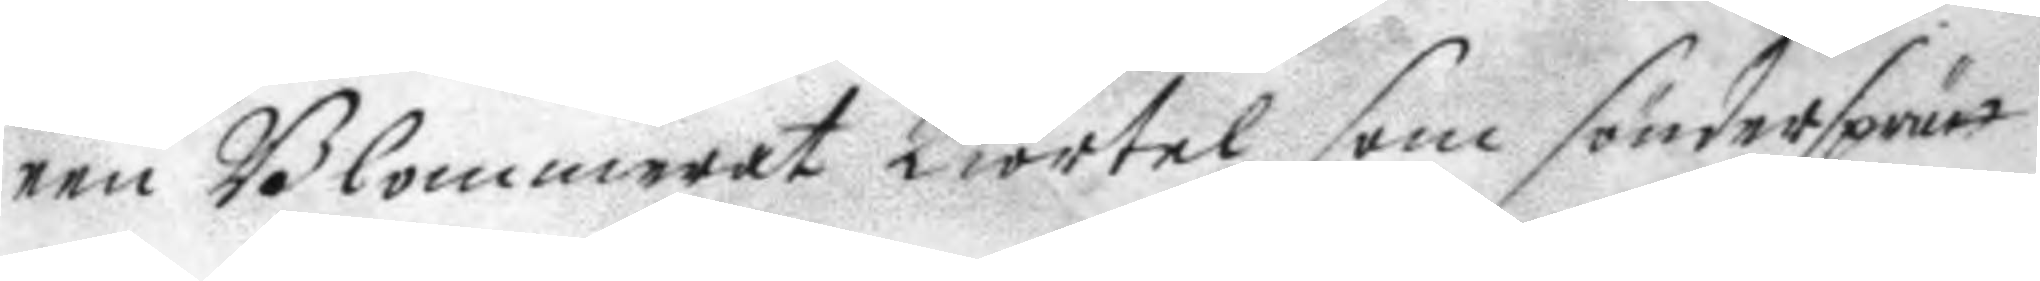een Blommerat kiortel som söndersprätt
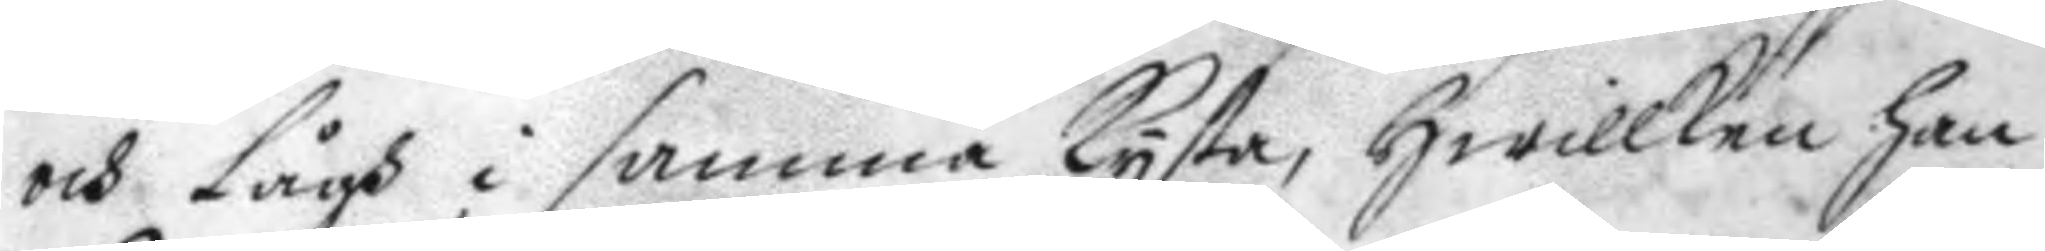och lågh i samma kysta, hwillken han
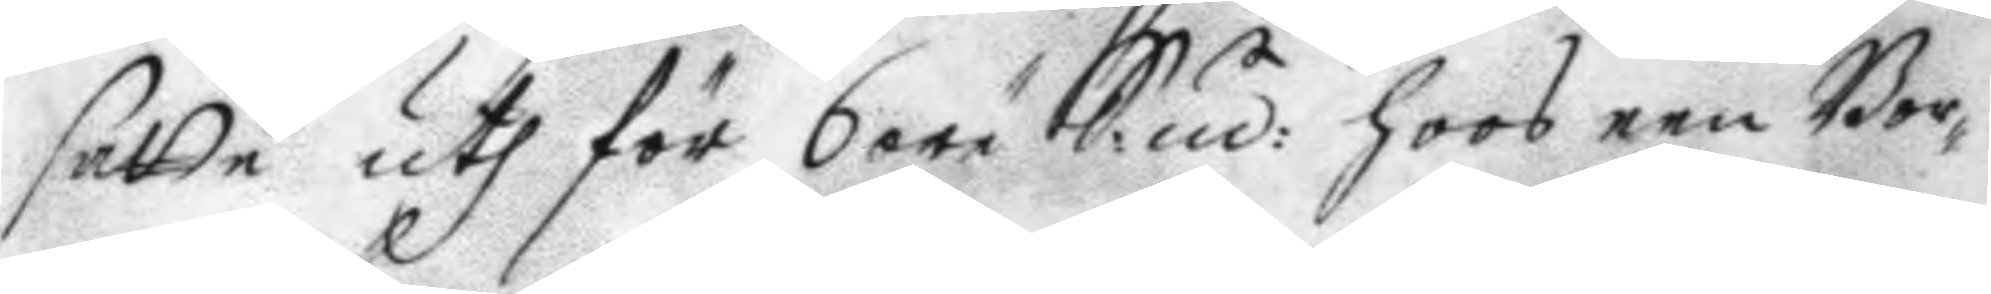satte uth för 6 öre S:mt: hoos een Bor¬
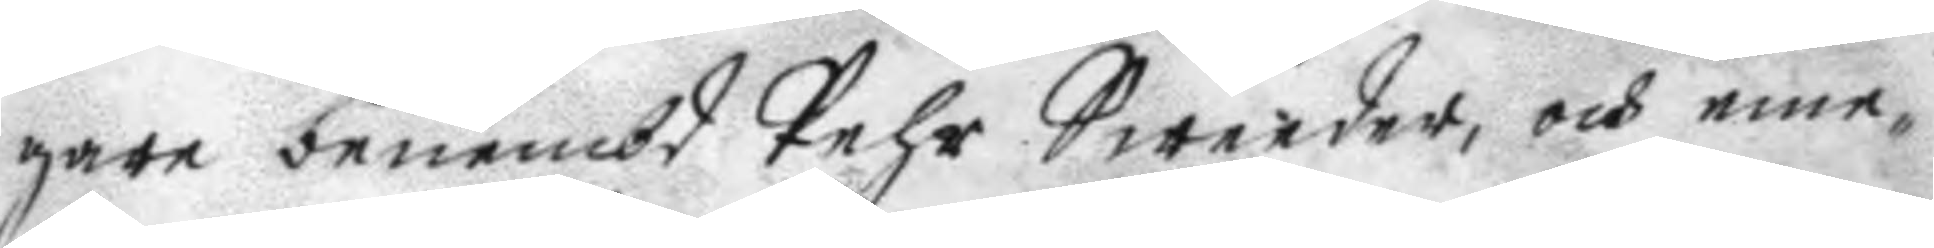gare benembd Pehr Sweeder, och eme¬
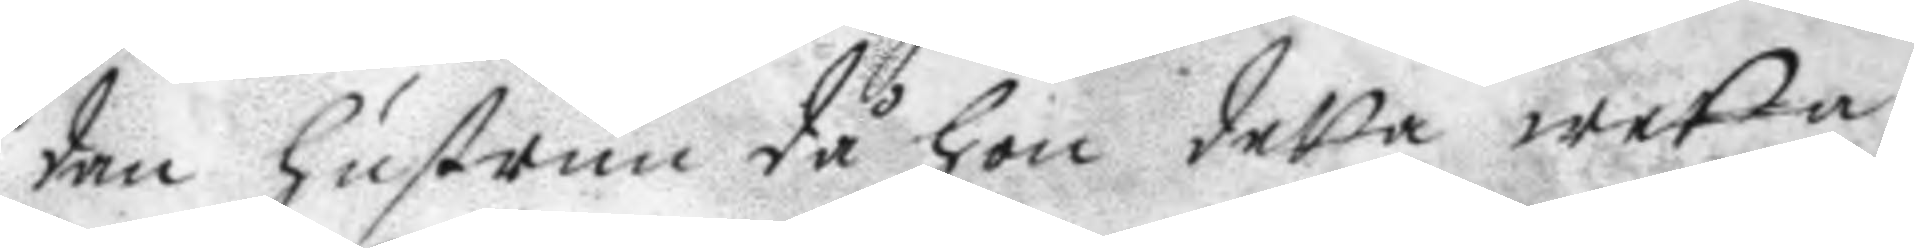dan hustrun då hon detta wetta
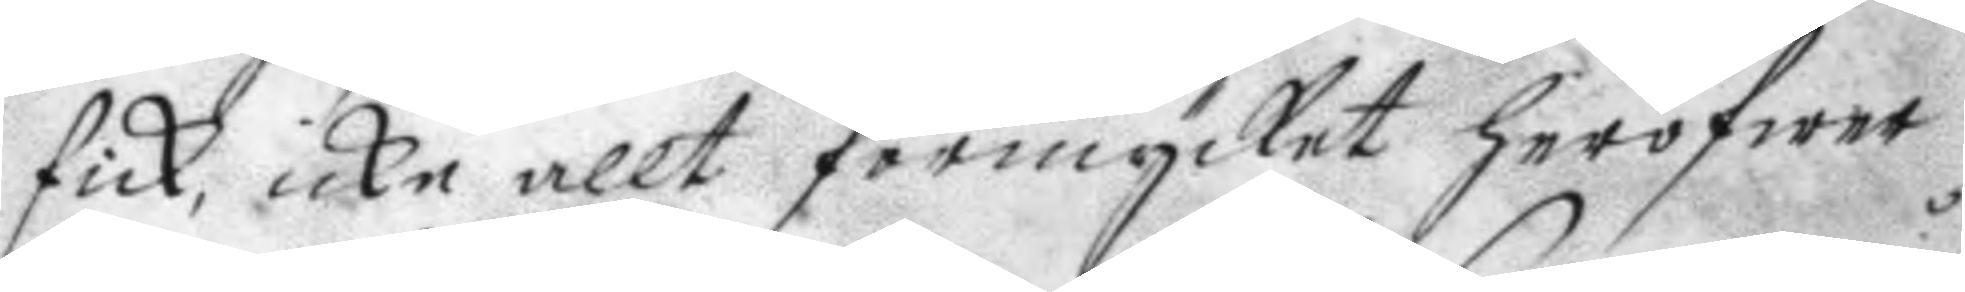fick, icke allt förmycket heröfwer
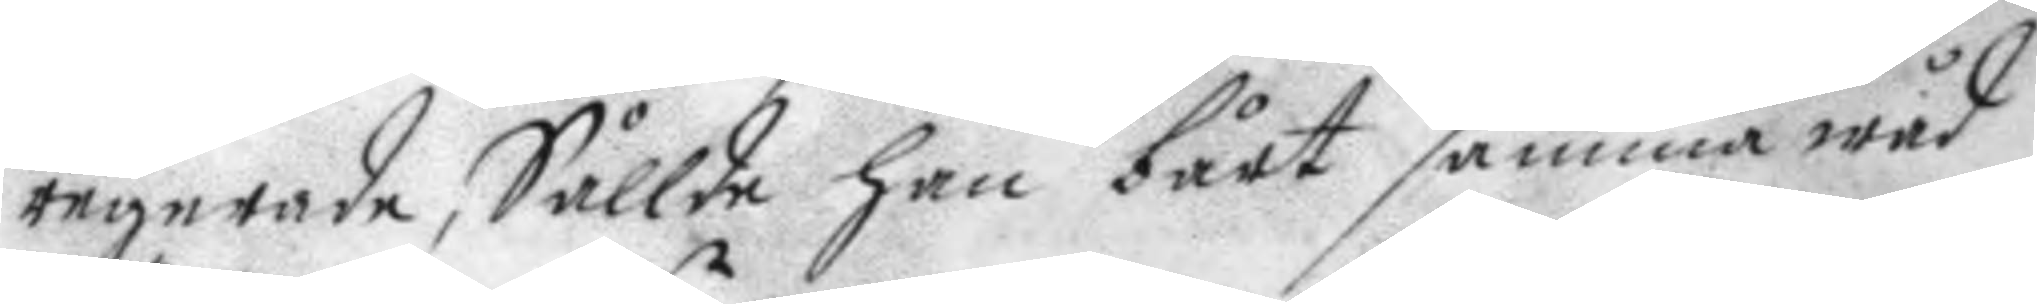regerade, Sållde han bårt samma wåd
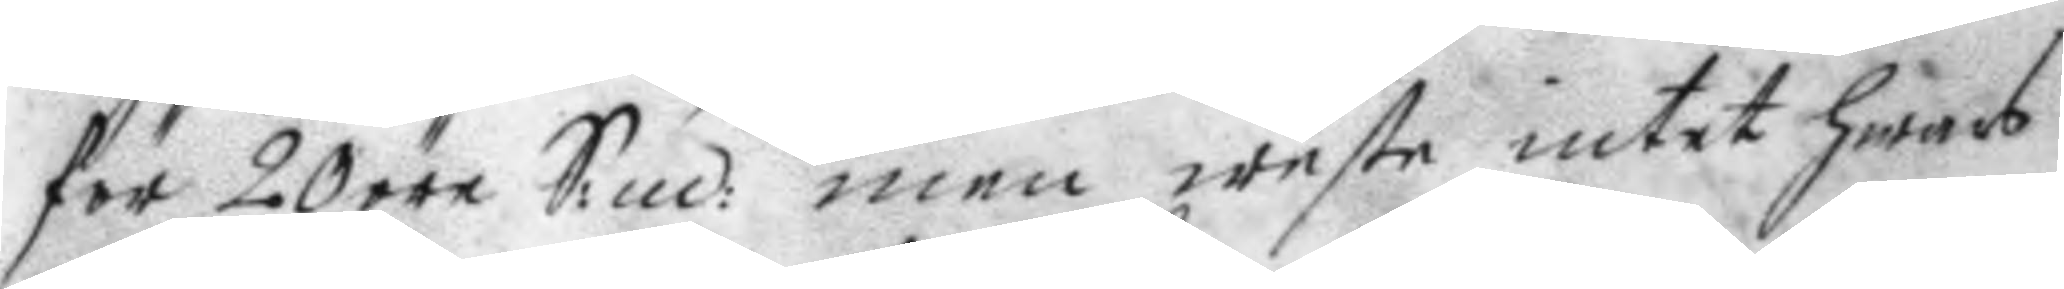för 20 öre S:mt: men weste intet hwars
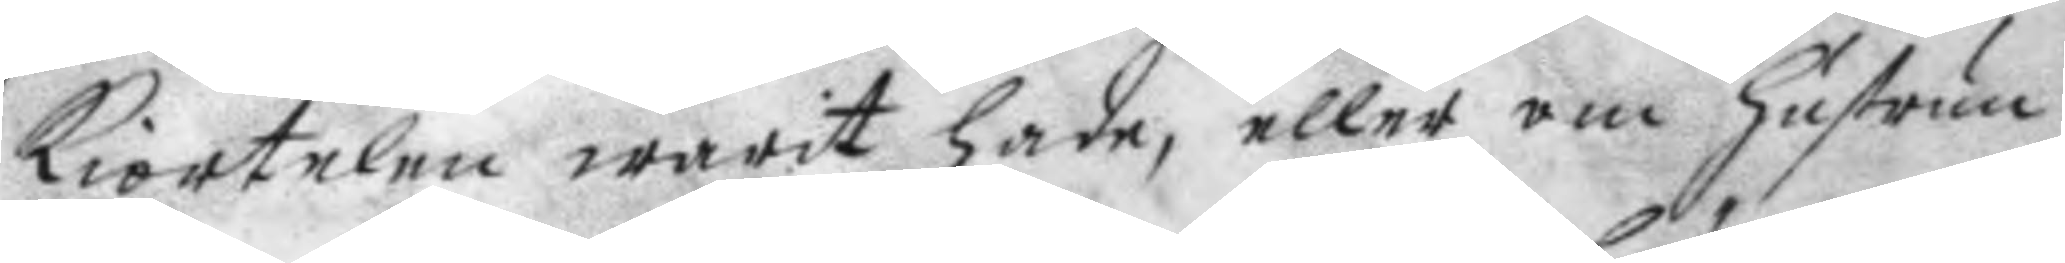kiortelen warit hade, eller om hustrun
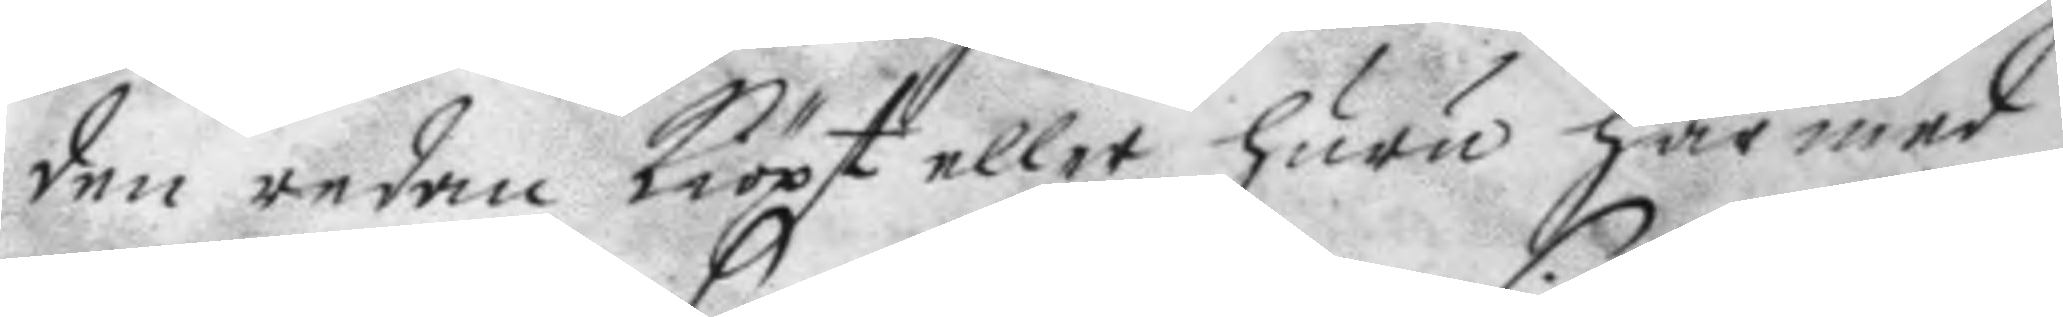den redan kiöpt eller huru här med
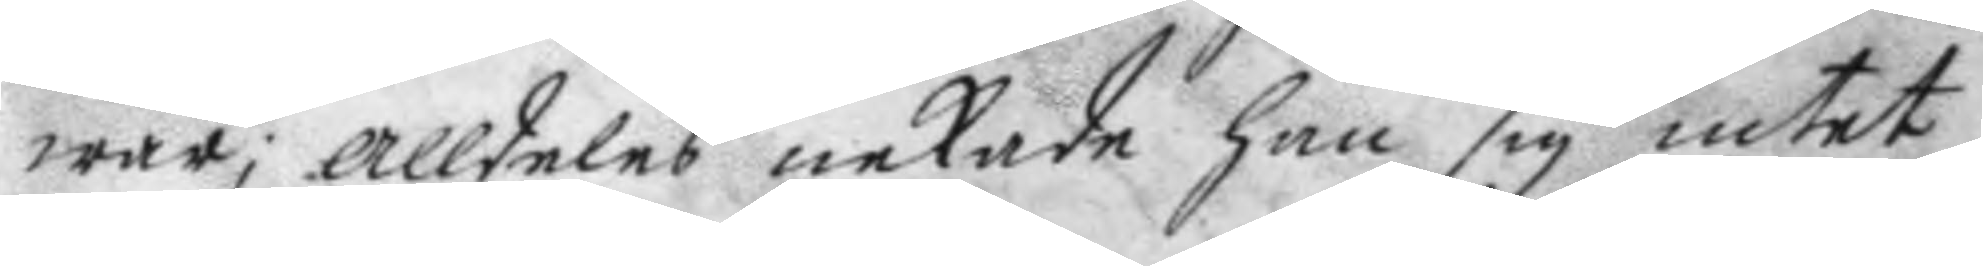war, alldeles nekade han sig intet
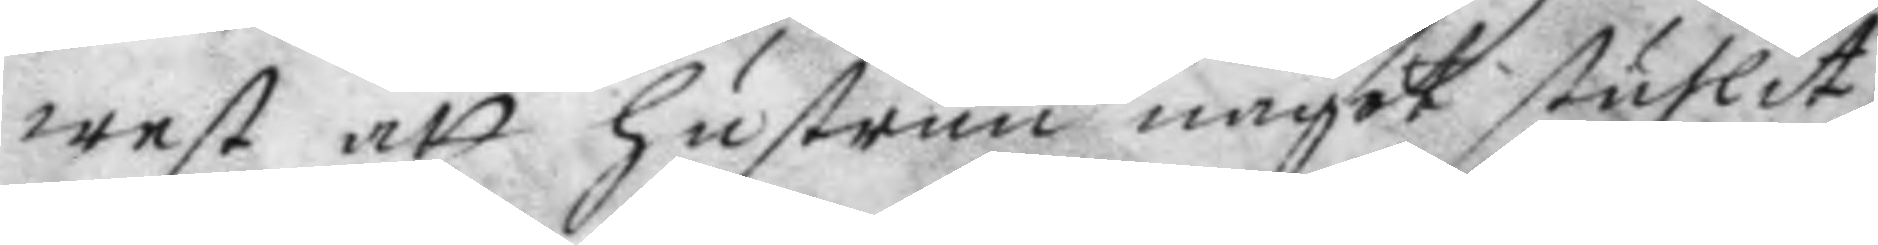west att hustrun något stulit
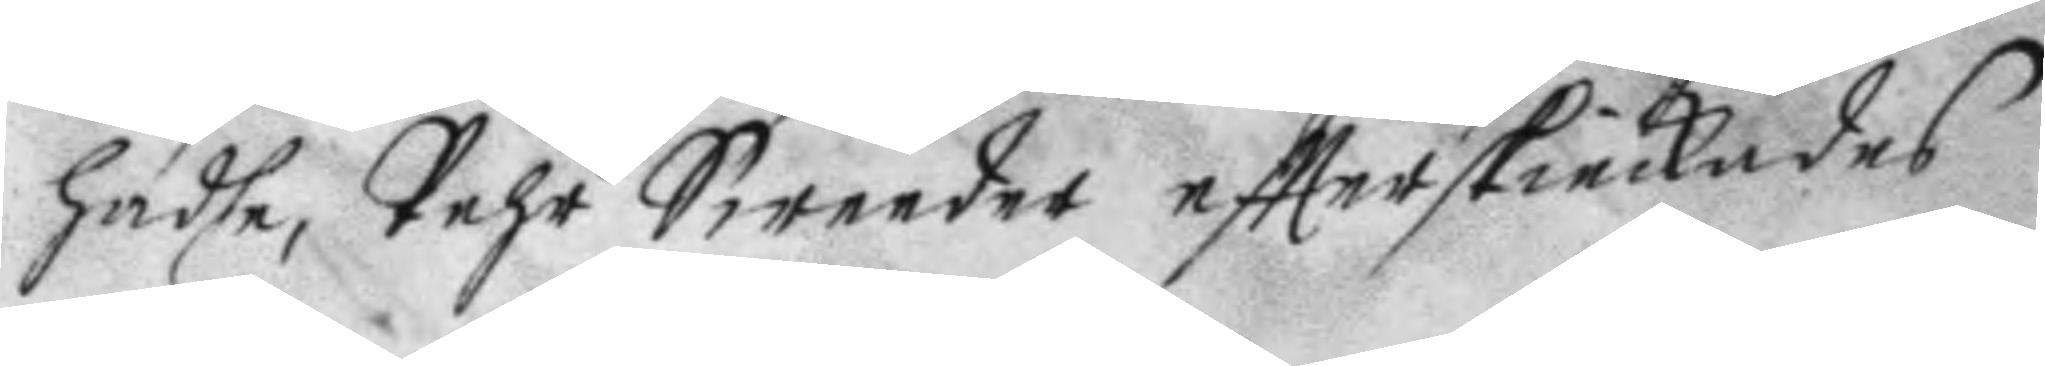hadhe, Pehr Sweeder eftterskickades
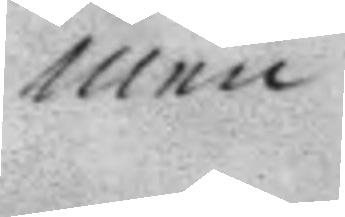men
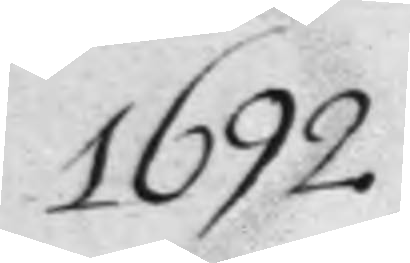1692.
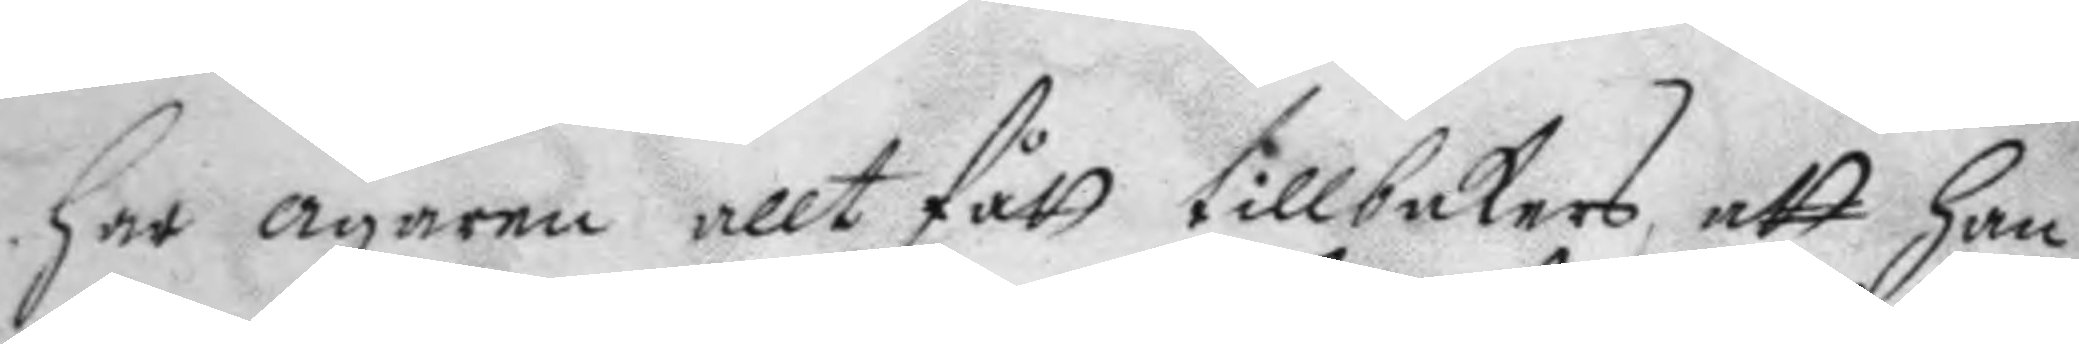har ägarne allt fått tillbakars att han
